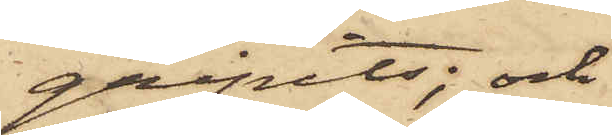gripits; och
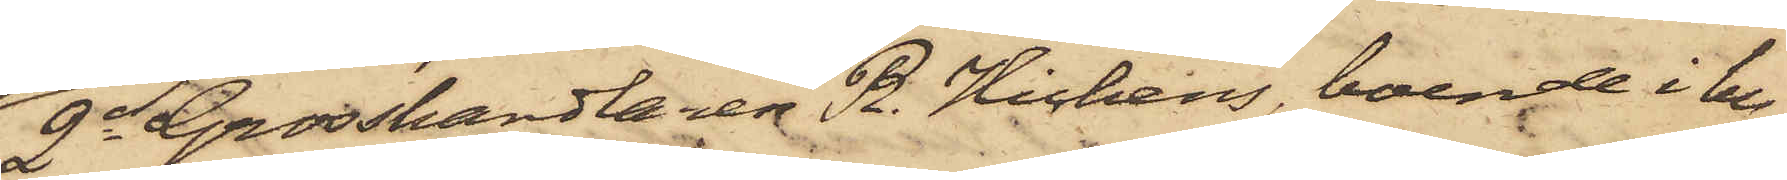2o Grosshandlaren R. Hichens, boende i hu¬
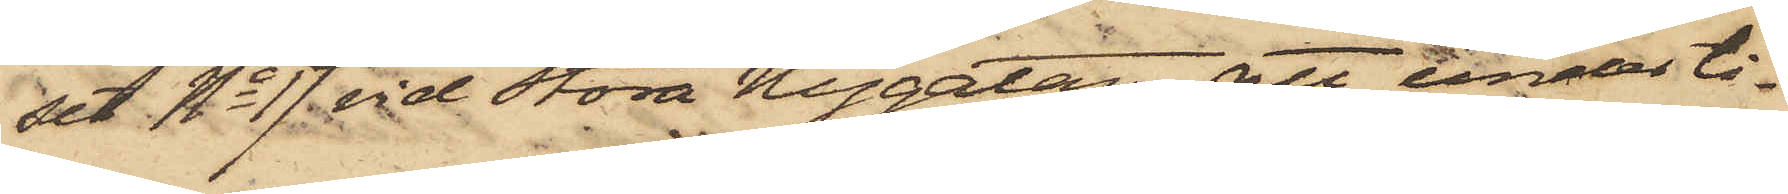set No 17 vid Stora Nygatan, att under ti¬
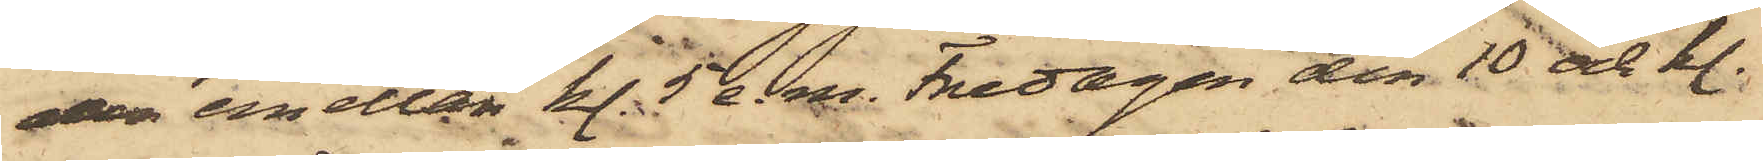den emellan kl. 5 e. m. Fredagen den 10 ds kl.
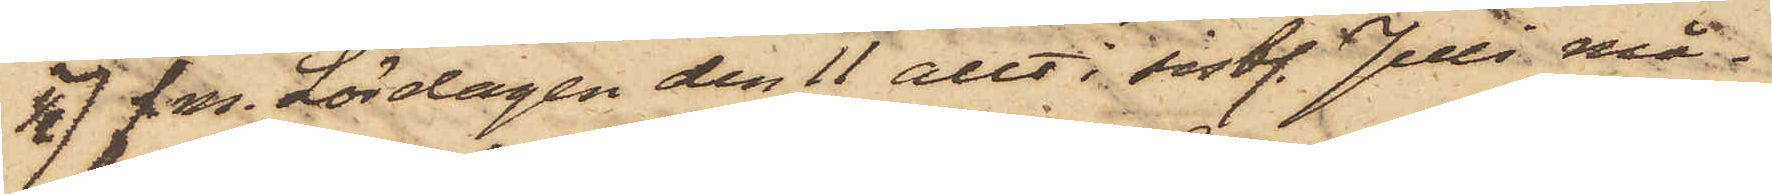1/2 7 f. m. Lördagen den 11 allt i sistl. Juli må¬
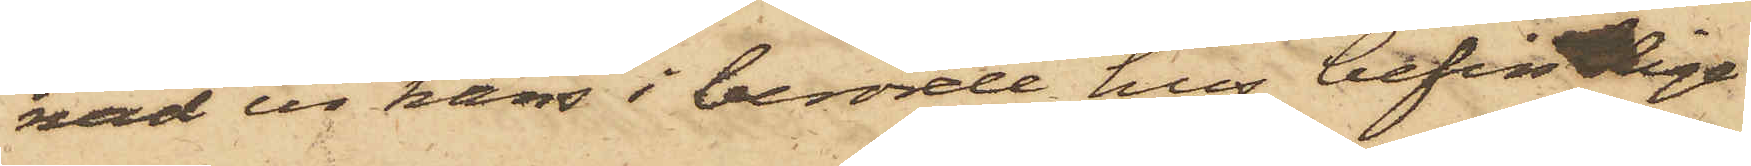nad ur hans i berörde hus befintlige
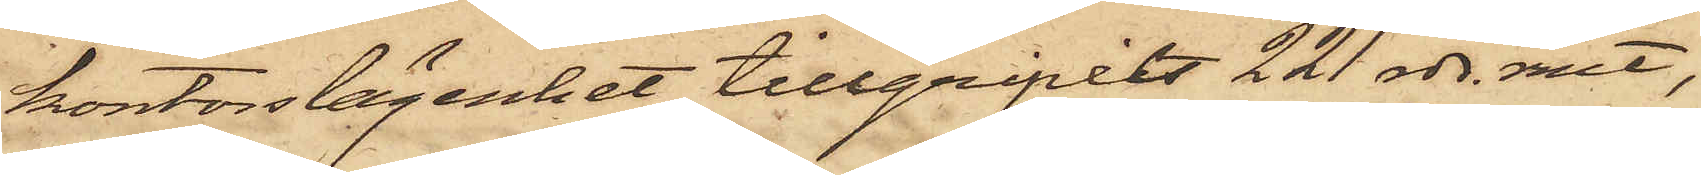kontorslägenhet tillgripits 221 rdr. rmt,
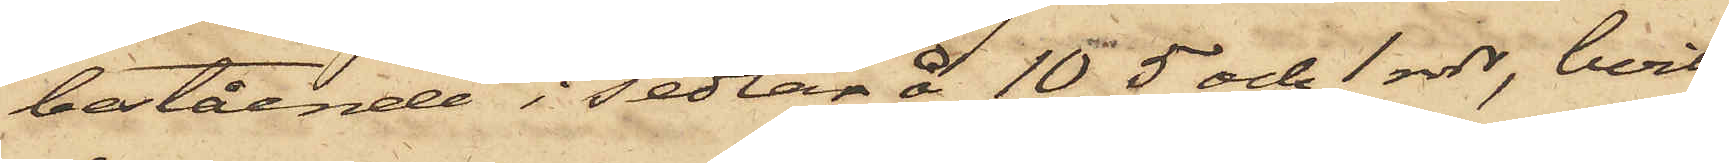bestående i sedlar å 10, 5 och 1 rdr, hvil¬
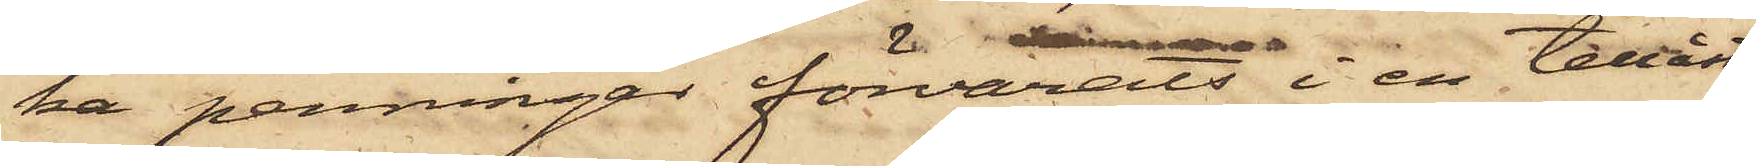ka penningar förvarats i en tillåst
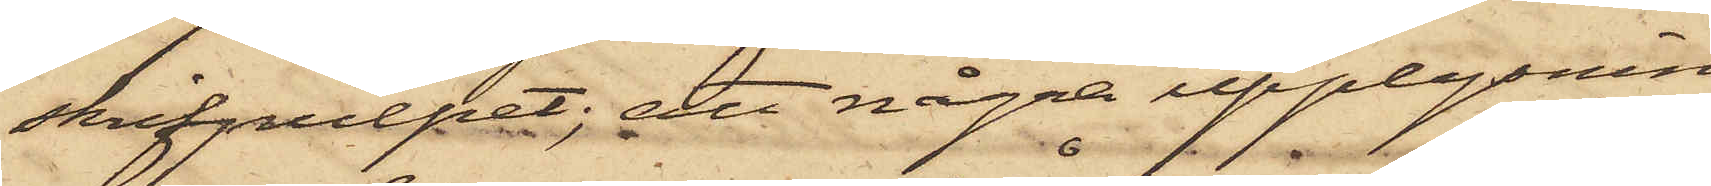skrifpulpet; att några upplysnin¬
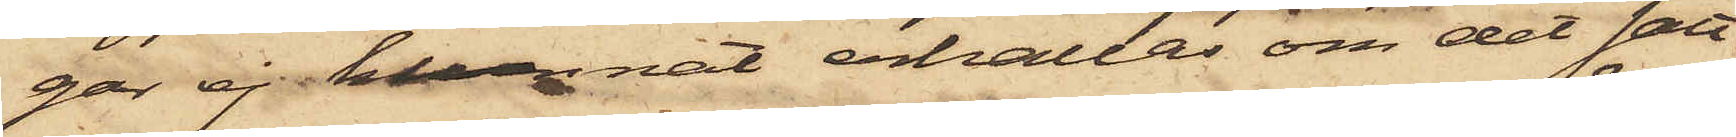gar ej kunnat erhållas om det sätt,
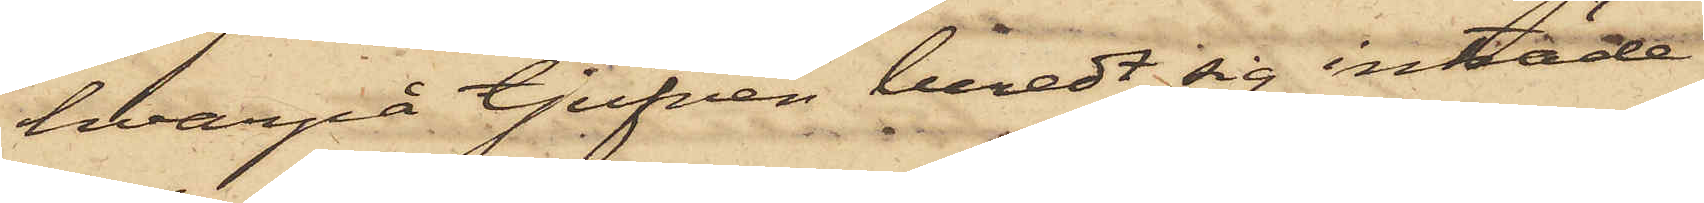hvarpå tjufven beredt sig inträde
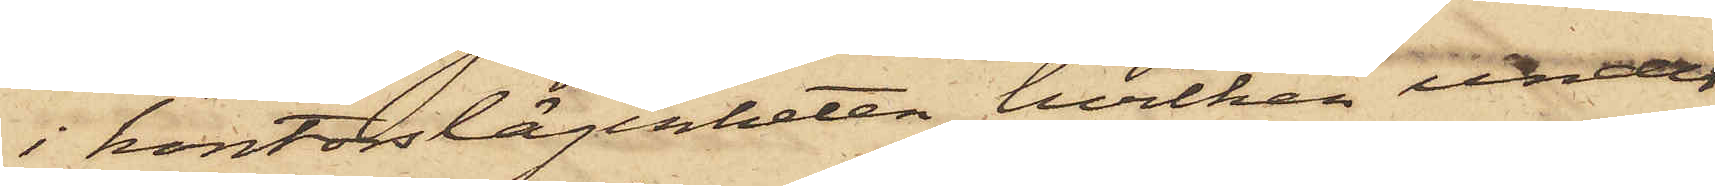i kontorslägenheten, hvilken under
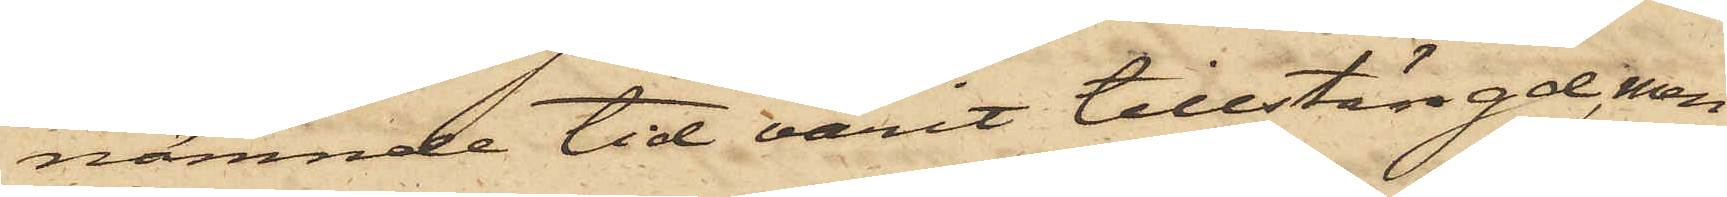nämnde tid varit tillstängd, men
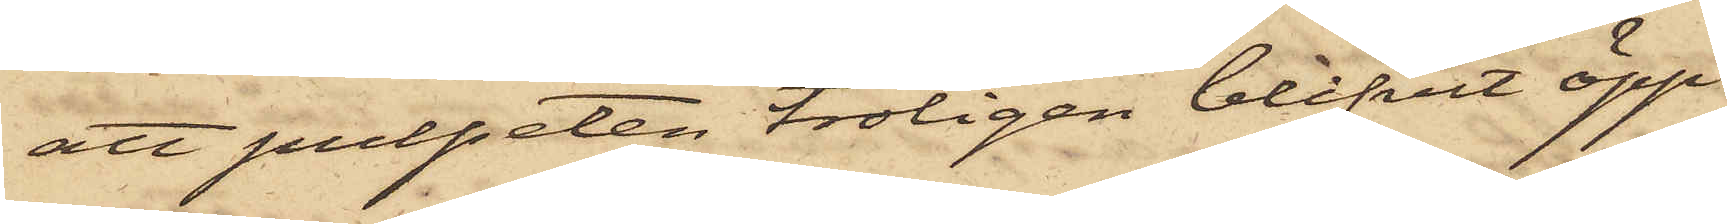att pulpeten troligen blifvit öpp¬
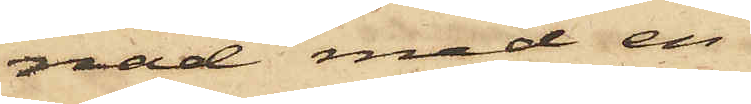nad med en
